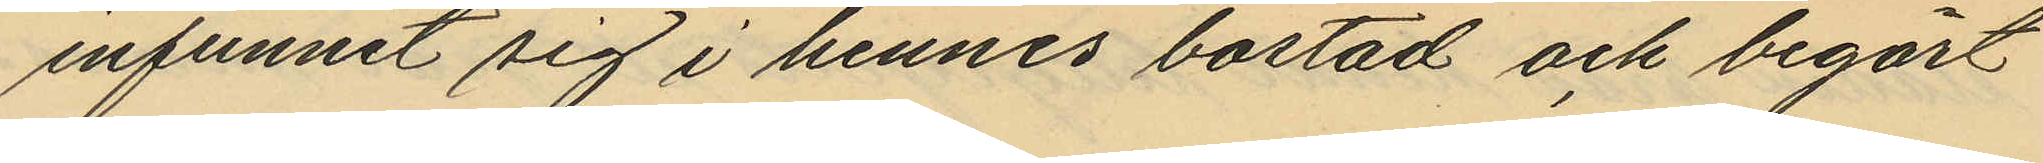infunnit sig i hennes bostad och begärt
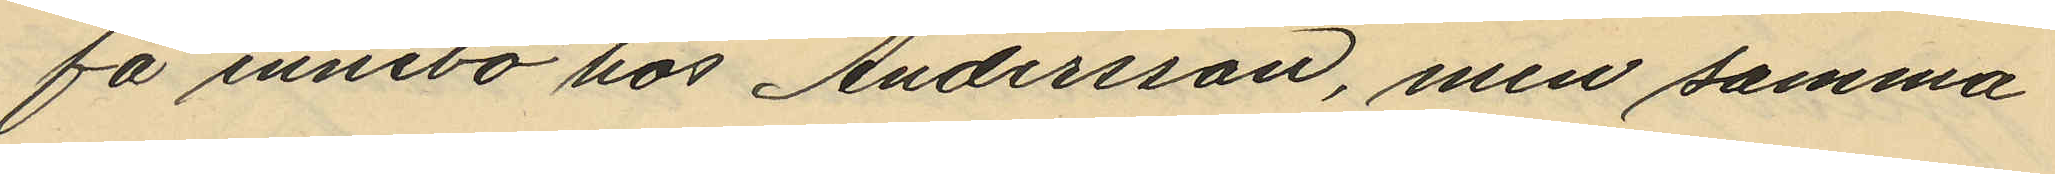få innebo hos Andersson, men samma
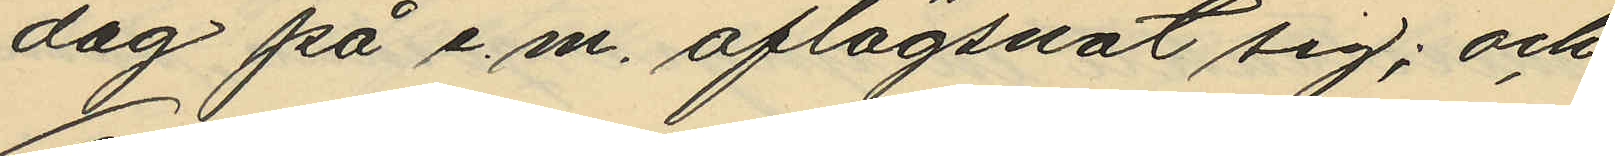dag på e.m. aflägsnat sig; och
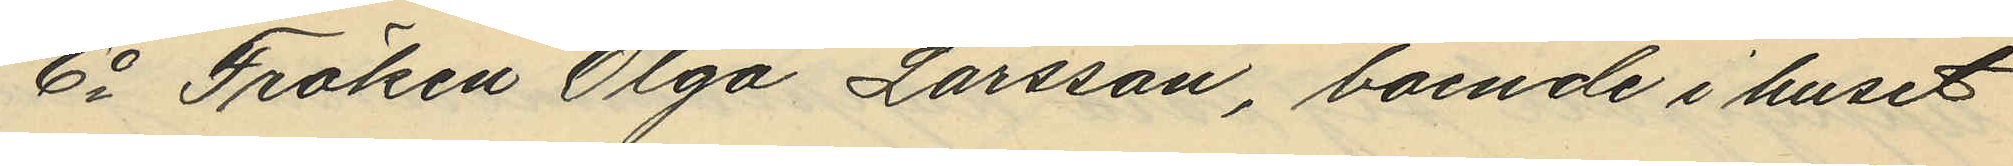6o Fröken Olga Larsson, boende i huset
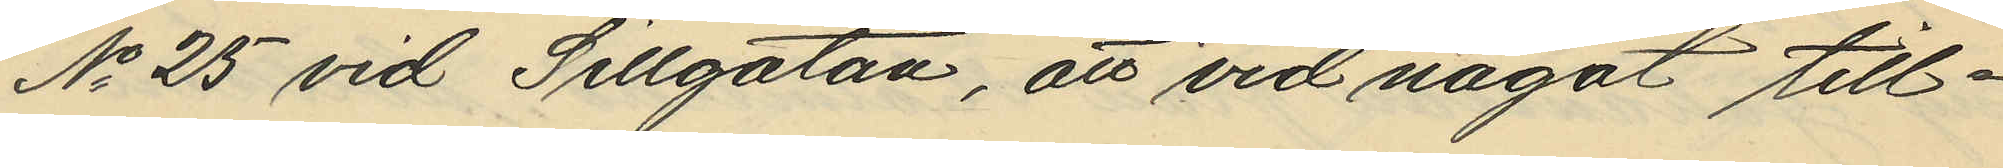No 25 vid Sillgatan, att vid något till¬
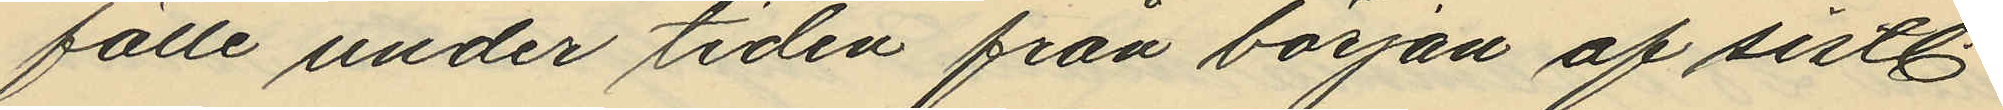fälle under tiden från början af sistl
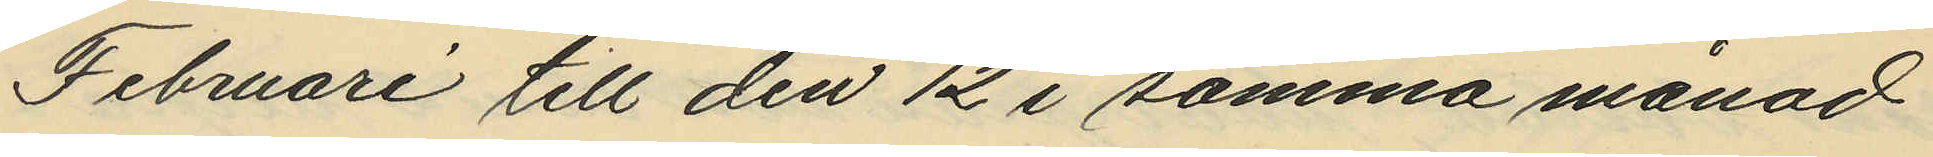Februari till den 12 i samma månad
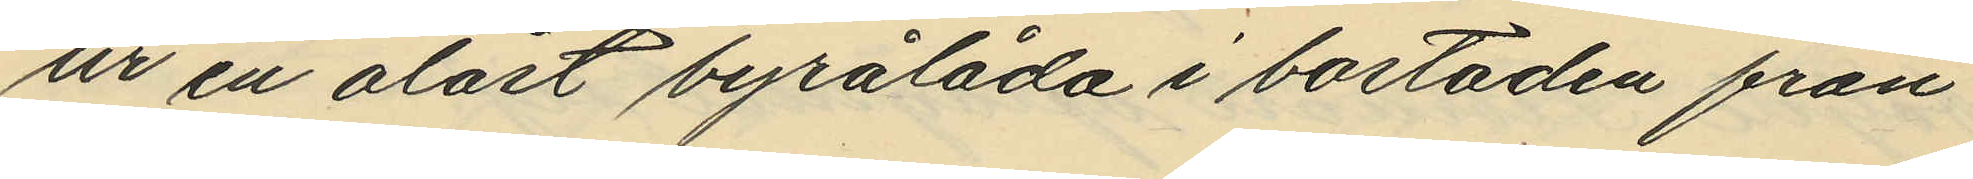ur en olåst byrålåda i bostaden från
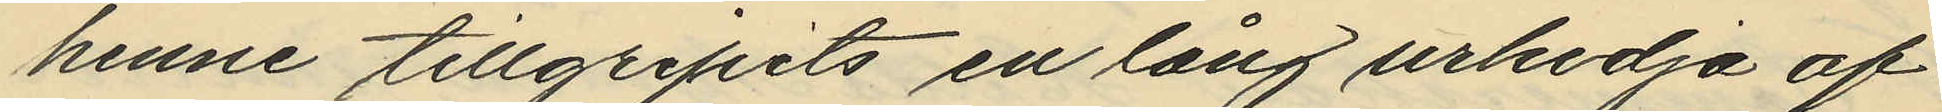henne tillgripits en lång urkedja af
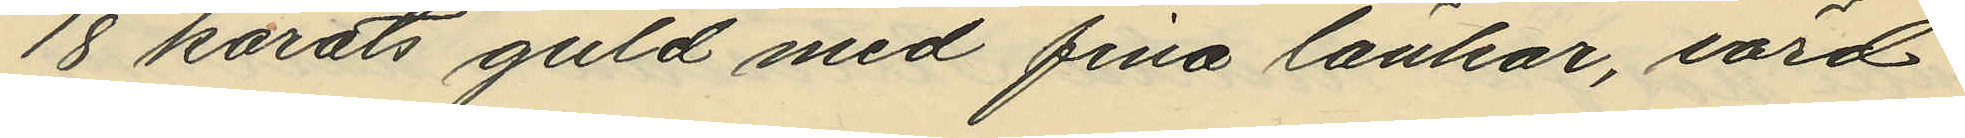18 karats guld med fina länkar, värd
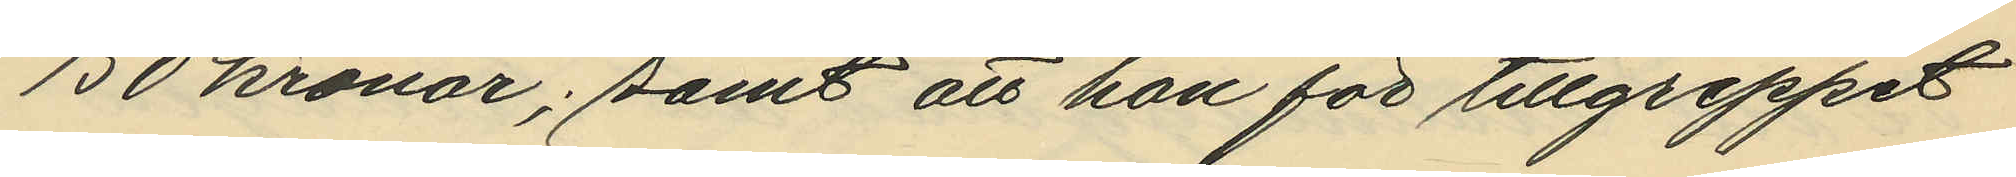150 kronor; samt att hon för tillgreppet
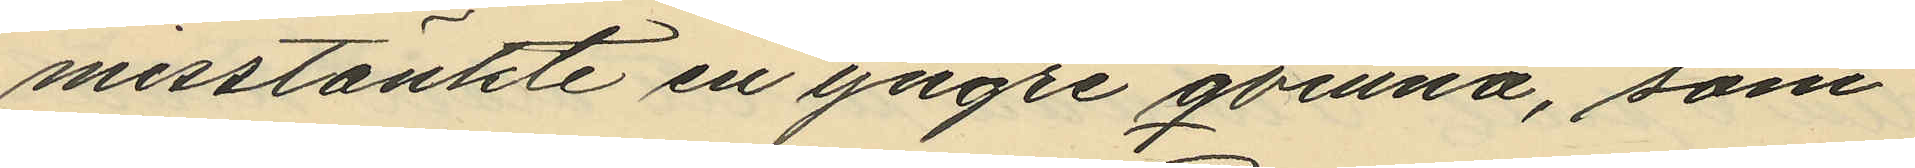misstänkte en yngre qvinna, som
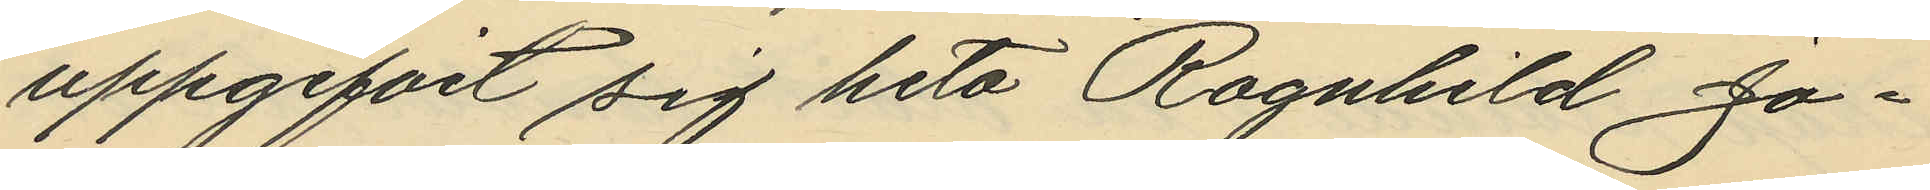uppgifvit sig heta Ragnhild Jo¬
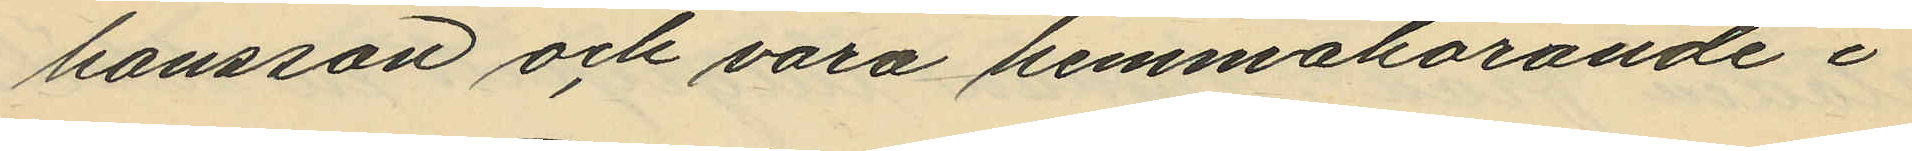hansson och vara hemmahörande i
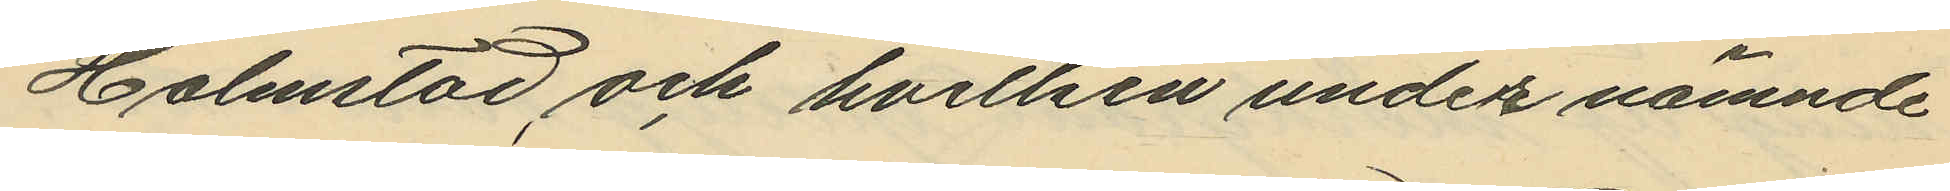Halmstad, och hvilken under nämnde
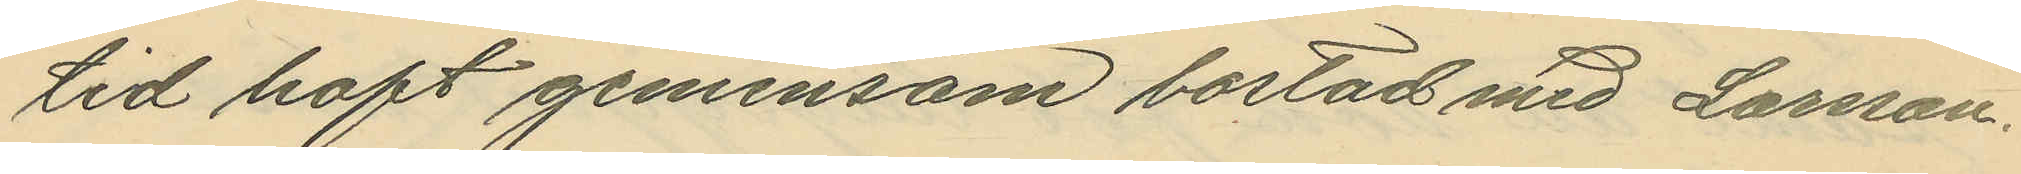tid haft gemensam bostad med Larsson.
